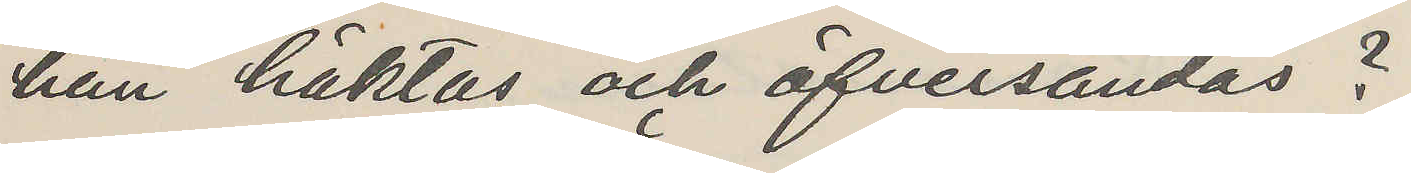han häktas och öfversändas?
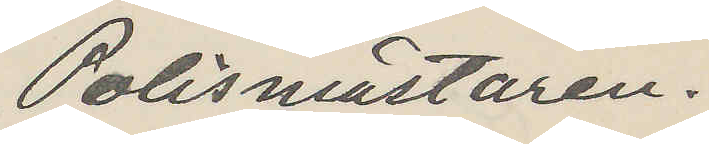Polismästaren.
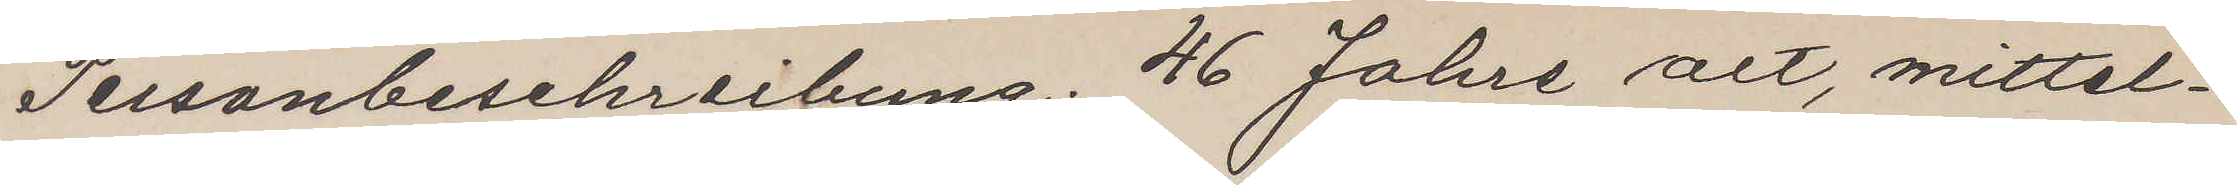Personbeschreibung: 46 Jahre alt, mittel¬
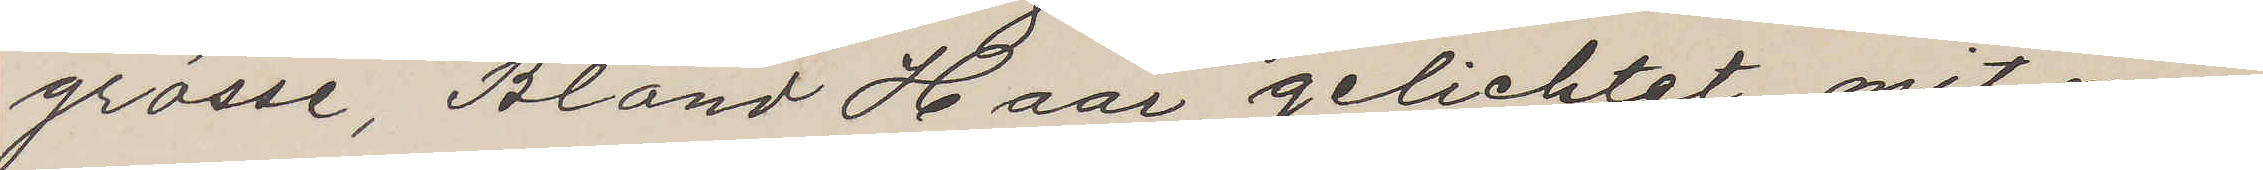grösse, Blond Haar gelichtet, mit ma¬
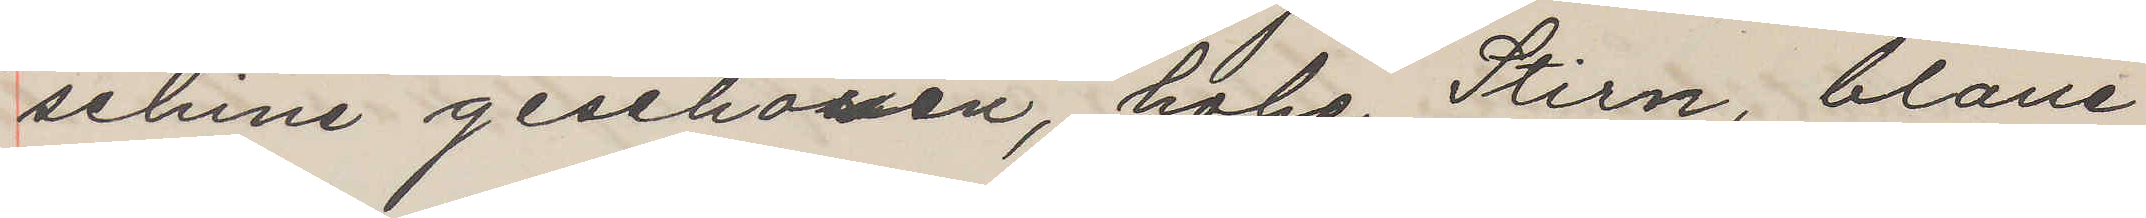schine geschossen, hohe Stirn, blaue
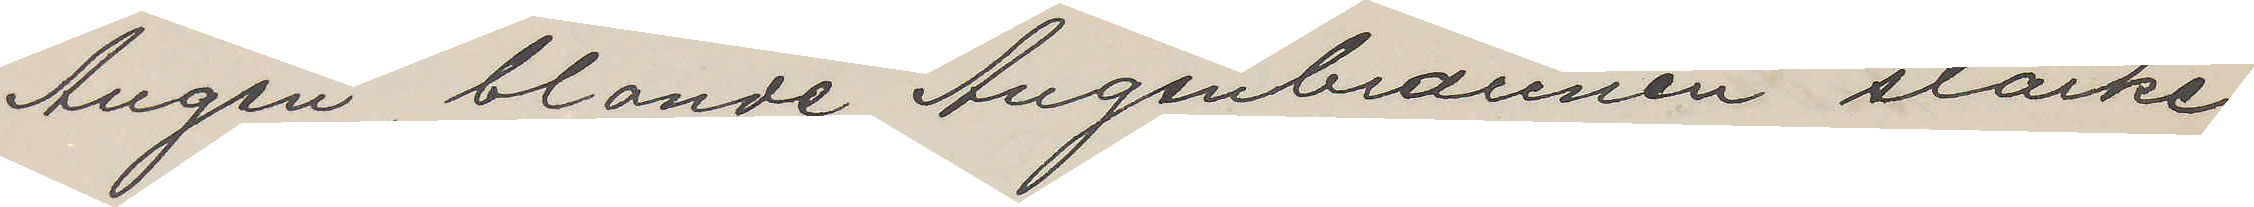Augen, blonde Augenbraunen starke
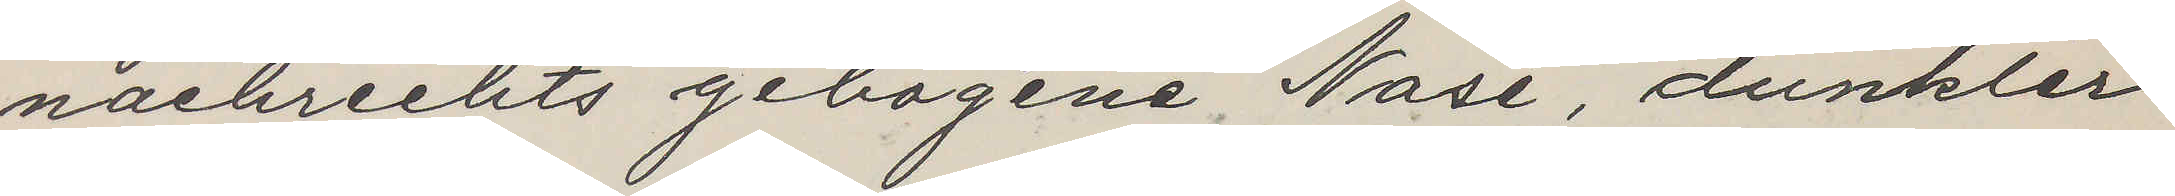nachrechts gebogene Nase, dunkler
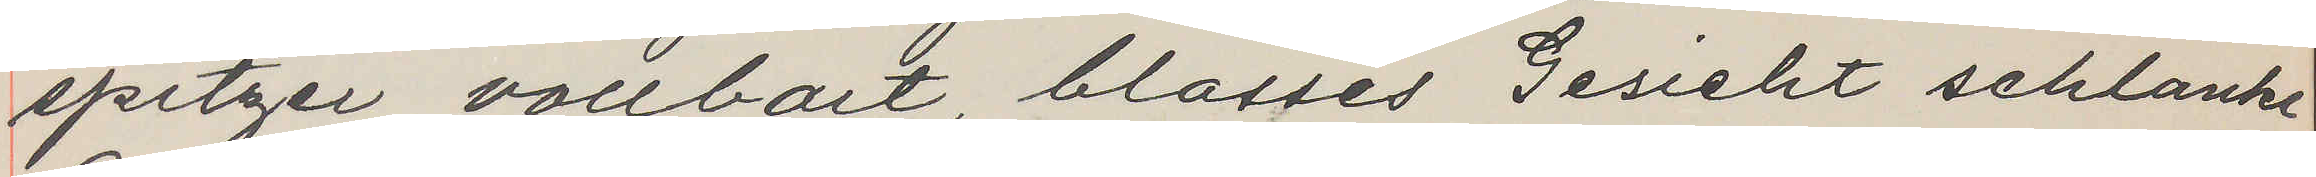spitzer vollbart, blasses Gesicht schlanke
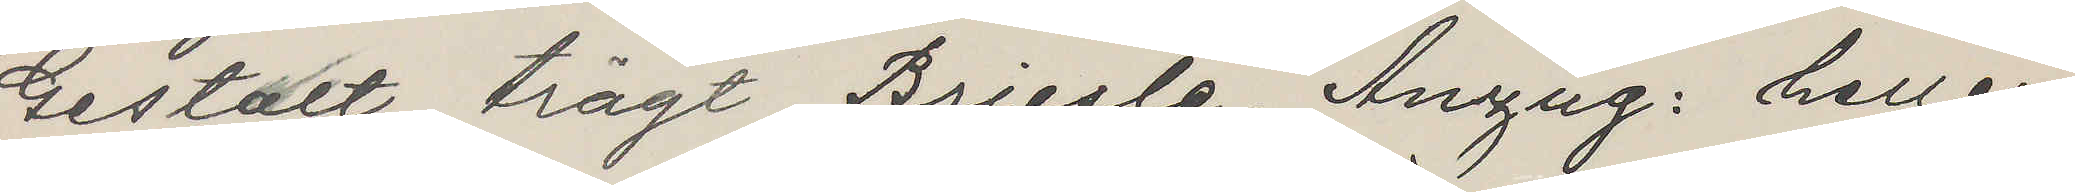Gestalt, trägt Briesle. Anzug: heller
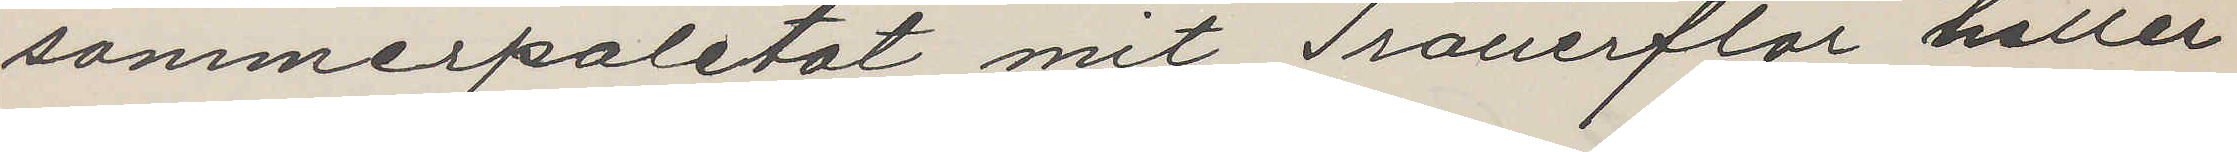sommerpaletot mit Trauerflor heller
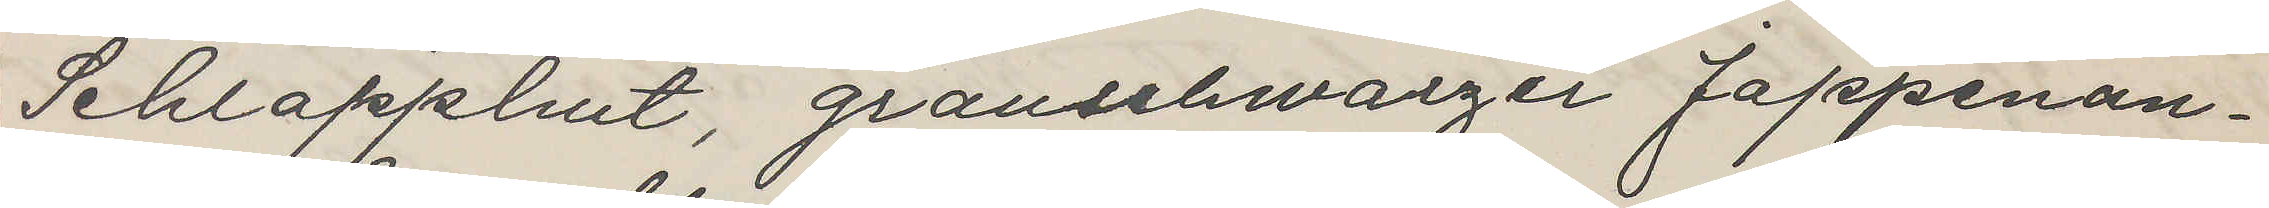Schlapphut, grauschwarzer Jappenan¬
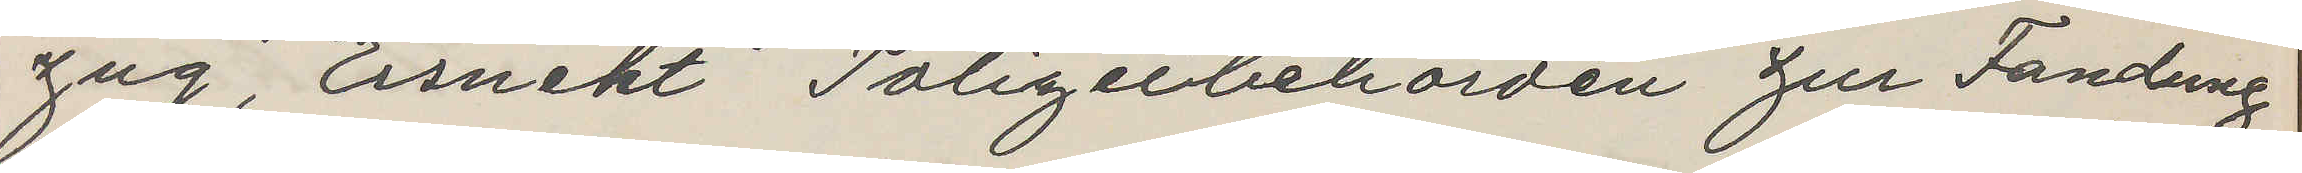zug, Ersucht Polizeibehörden zur Fandung
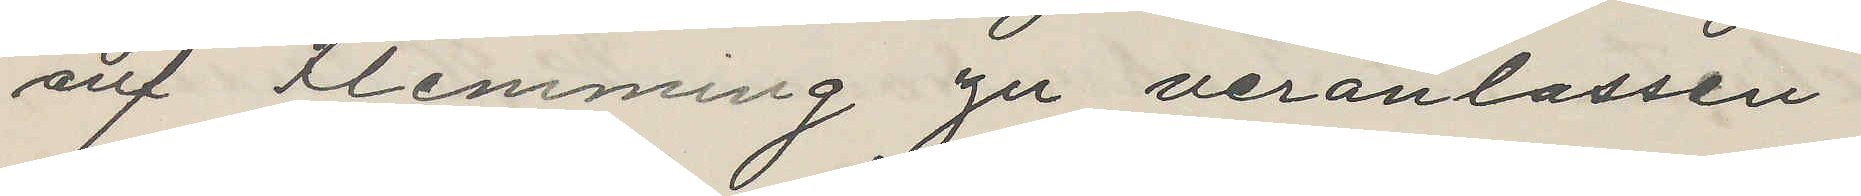auf Flemming zu veranlassen
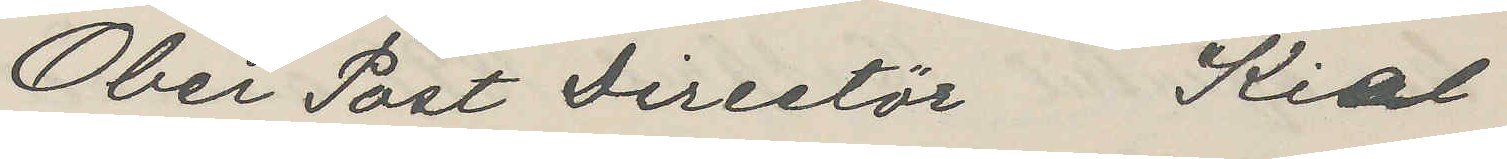Ober Post Directör Kial
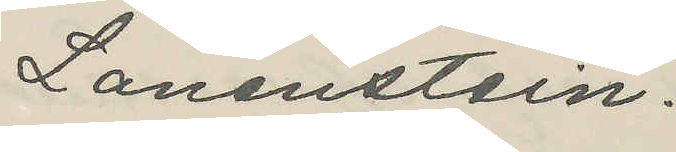Lanenstein.
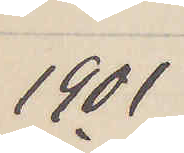1901
